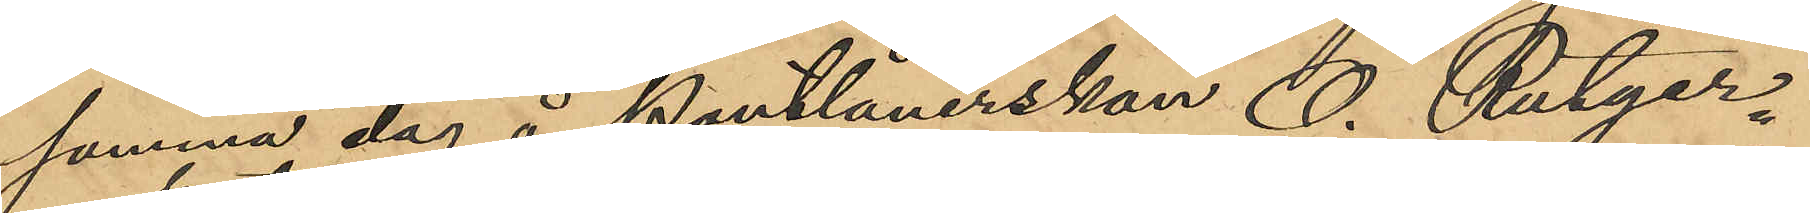samma dag å Pantlånerskan O. Rutger¬
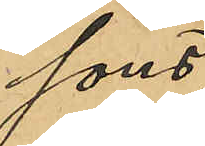sons
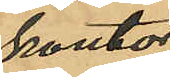kontor
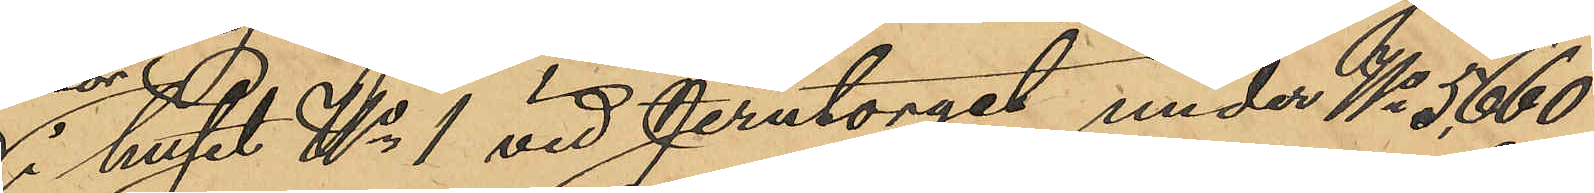i huset No 1 vid Jerntorget under No 5660
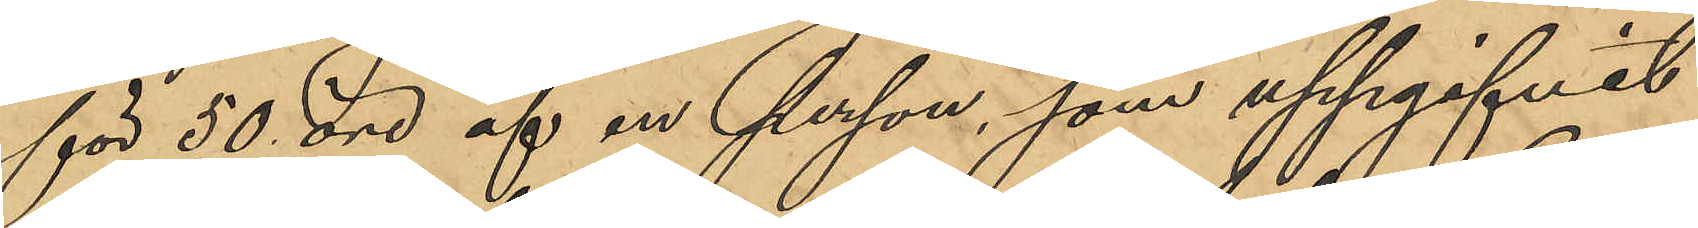för 50 öre af en person, som uppgifvit
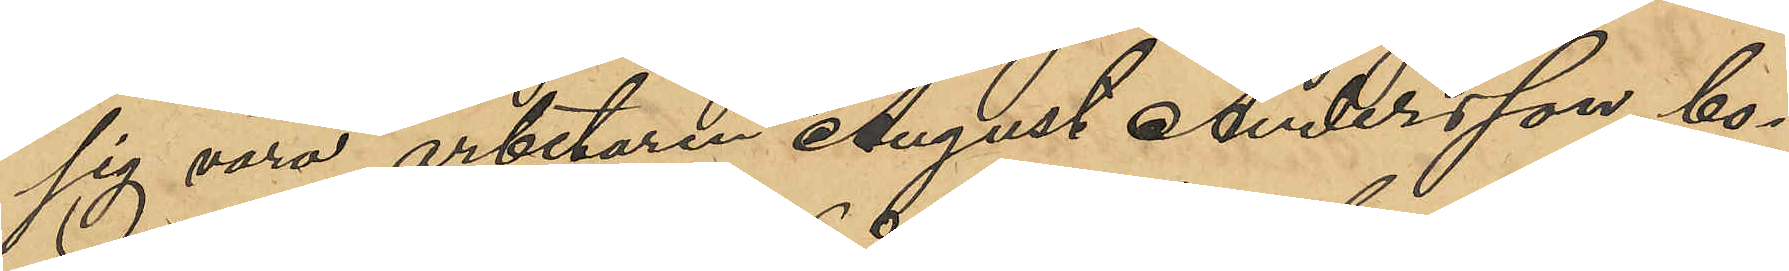sig vara arbetaren August Andersson, bo¬
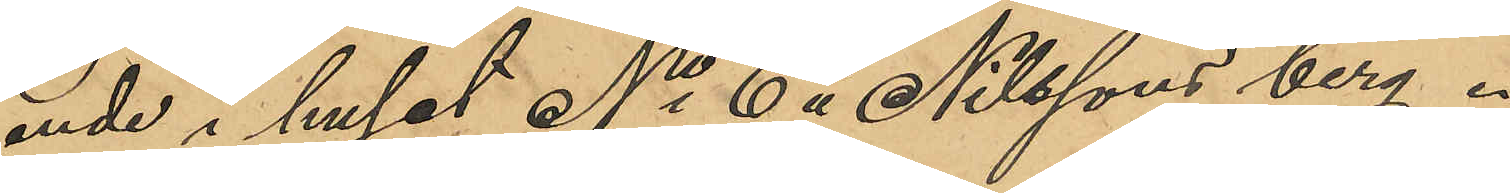ende i huset No 6 å Nilssons berg.
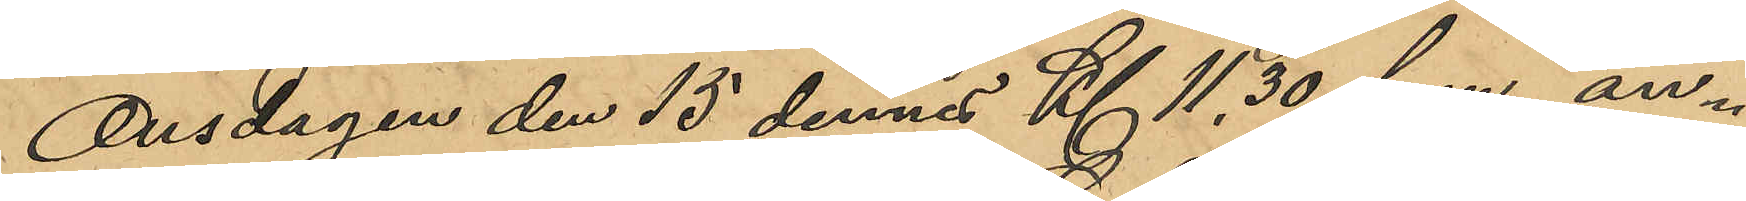Onsdagen den 15 dennes Kl 11,30  f.m an¬
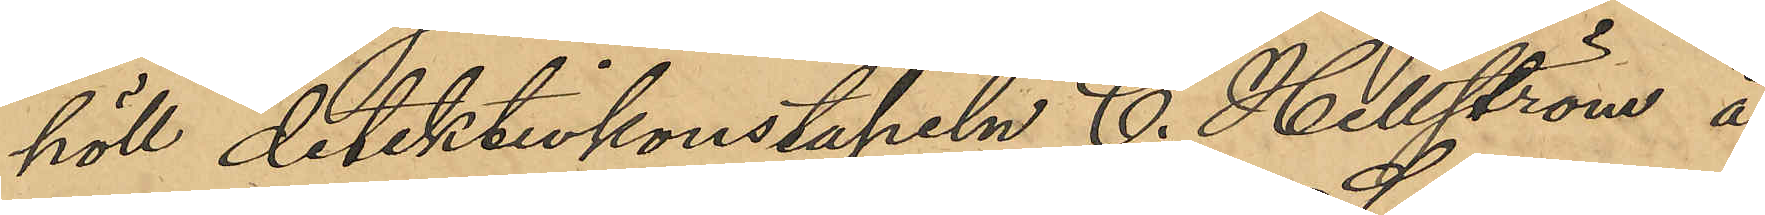höll detektivkonstapeln C. Hellström å
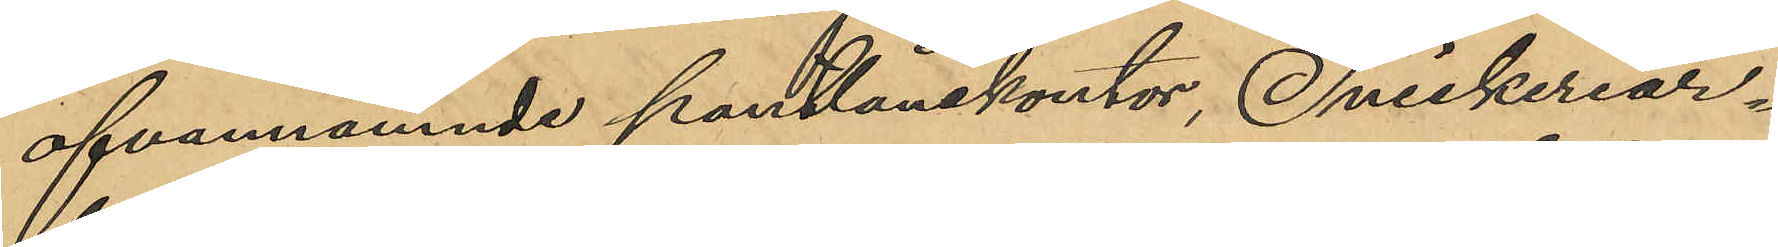ofvannämnde pantlånekontor, Snickeriar¬
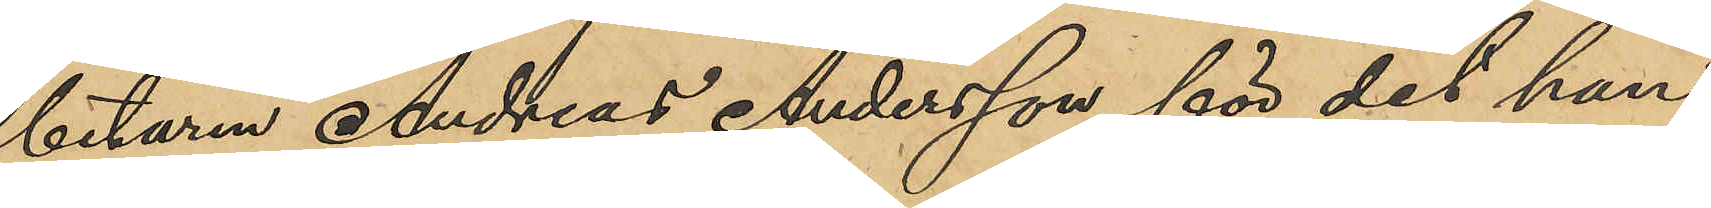betaren Andreas Andersson, för det han
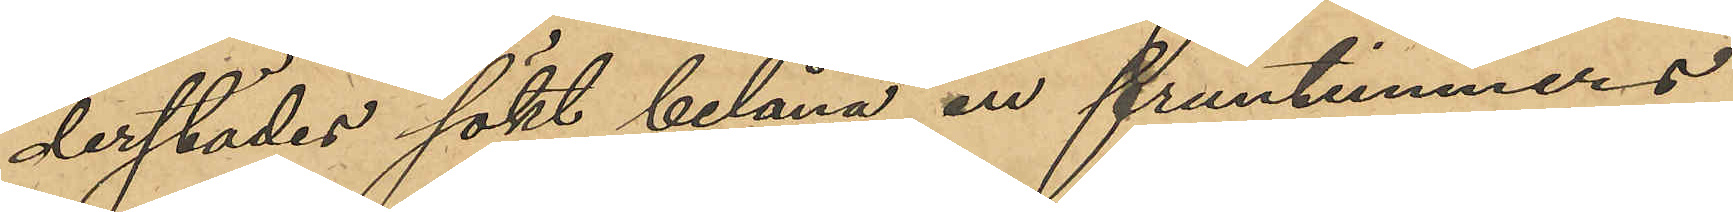derstädes sökt belåna en fruntimmers
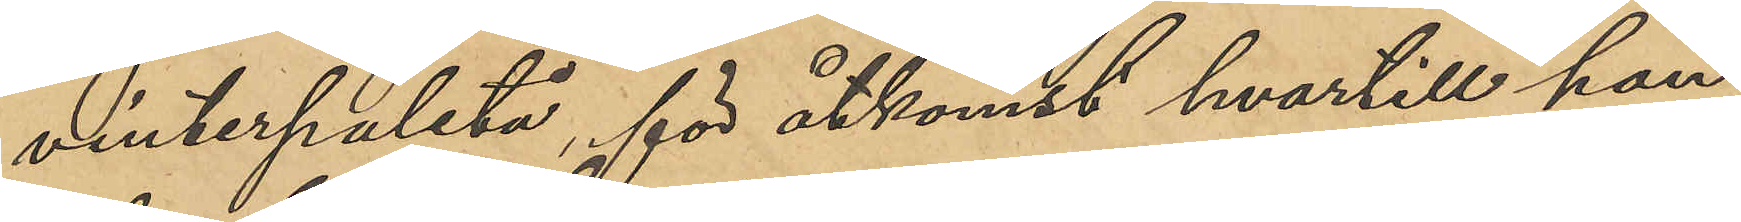vinterpaletå, för åtkomst hvartill han
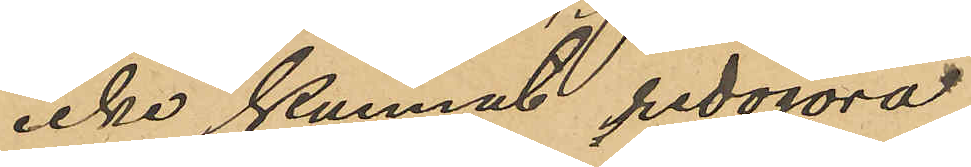icke kunnat redogöra.
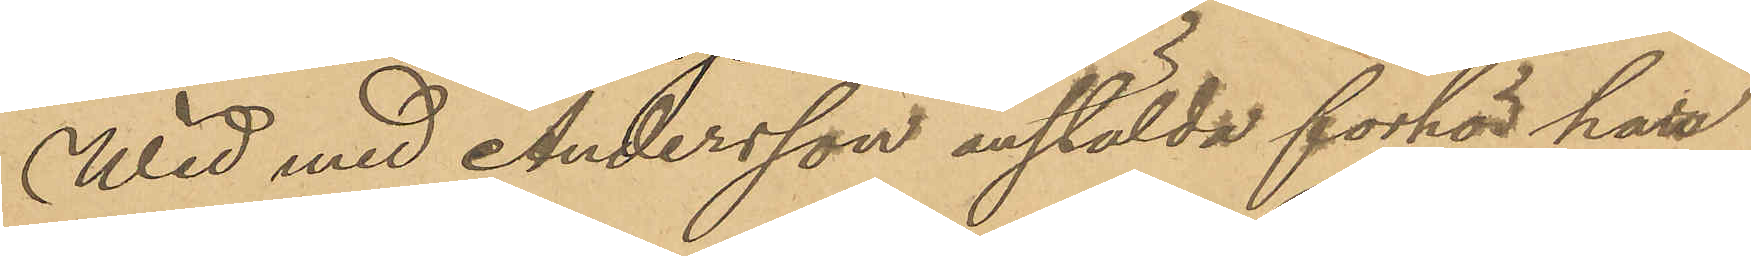Wid med Andersson anstälda förhör har
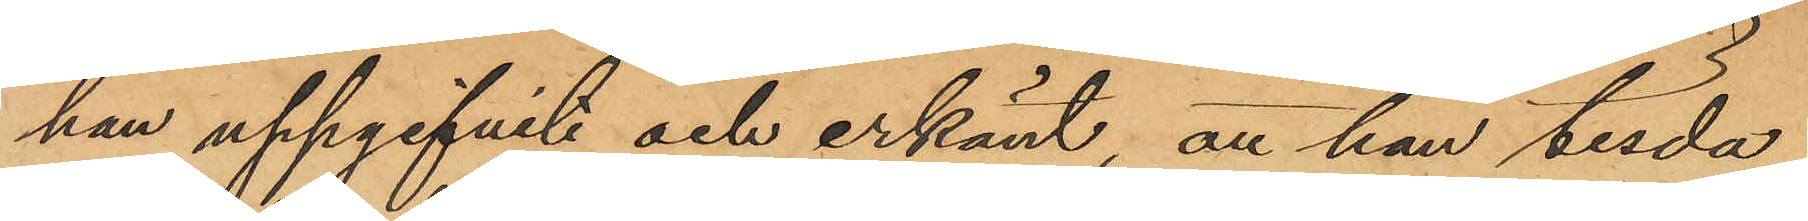han uppgifvit och erkänt, att han tisda¬
